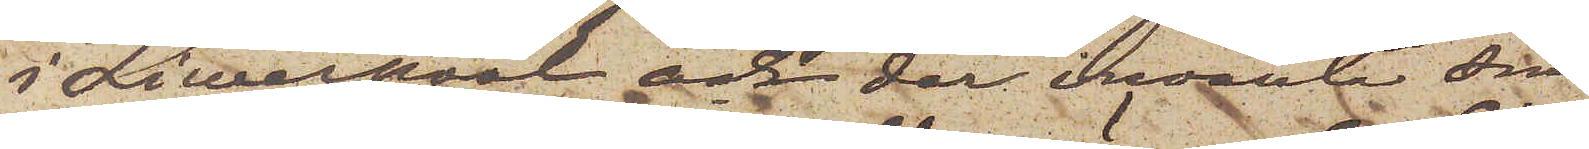i Liwerpool och der invänta sin
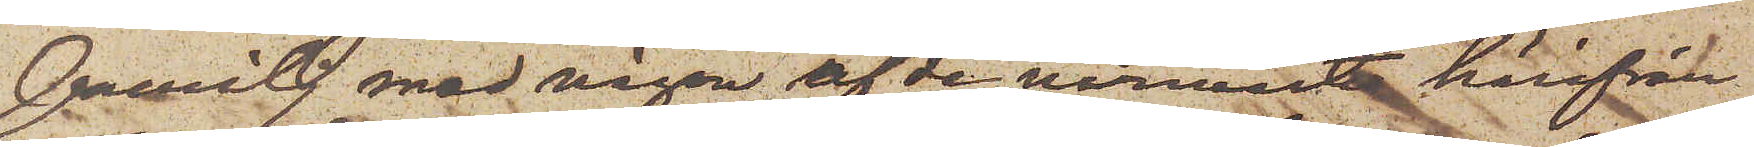familj med någon af de närmast härifrån
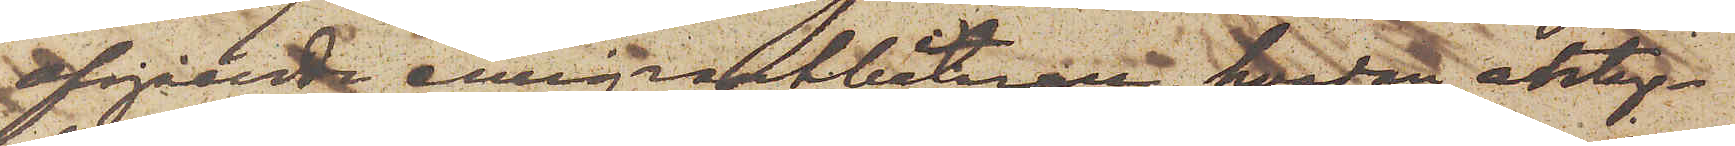afgående emigrantbåtarna, hvadan antag¬
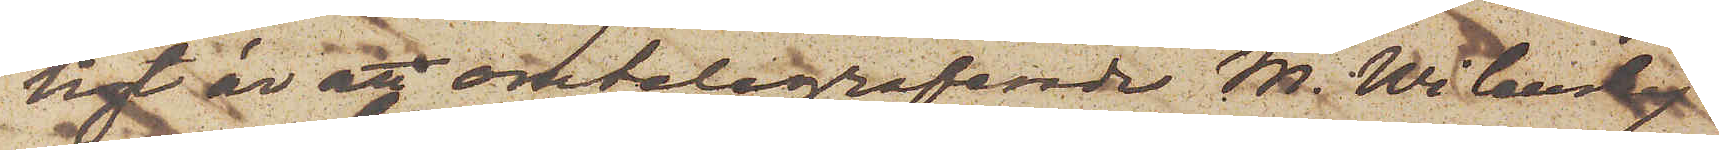ligt är att omtelegraferade M. Wilansky
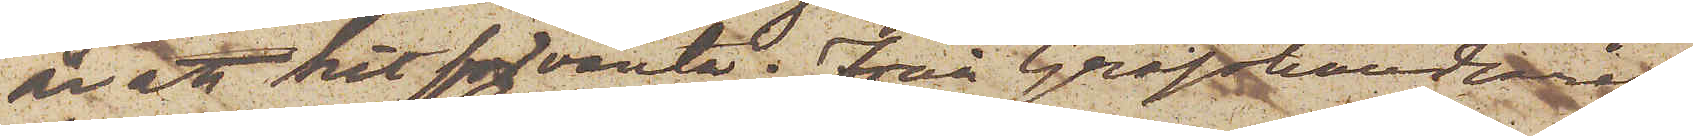är att hit förvänta. Från Grosshandlaren
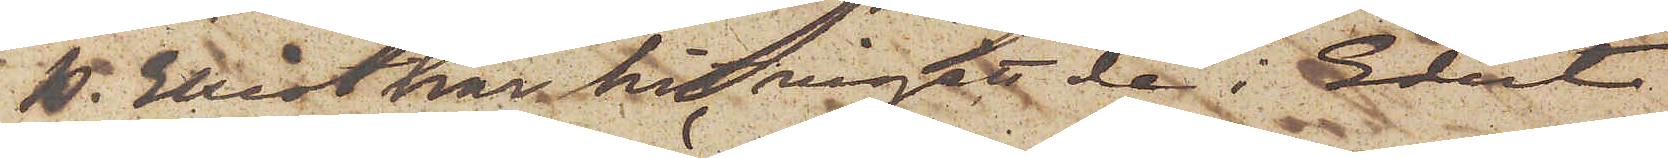B. Ekrot har hit ingått de i Edert
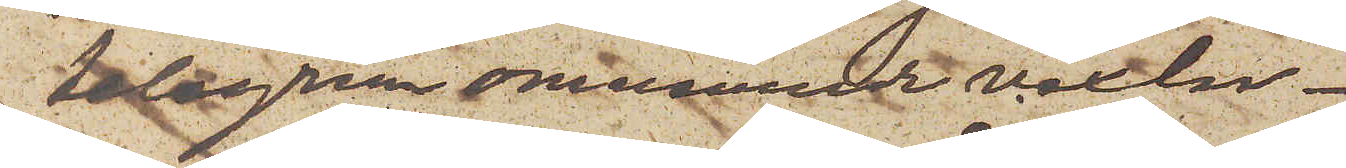telegram omnämnde vexlar.
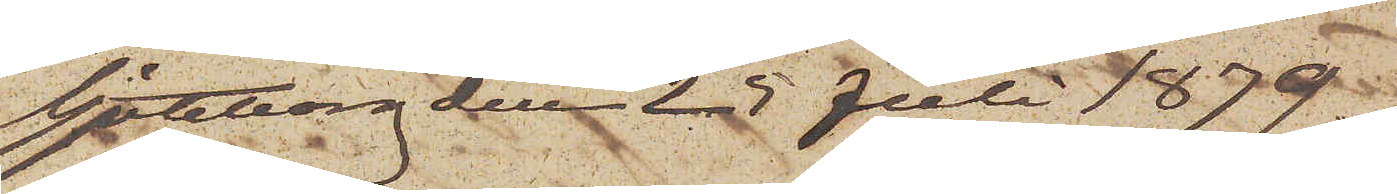Göteborg den 25 Juli 1879.
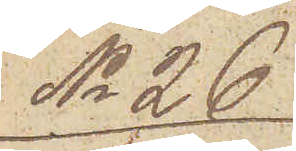No 26.
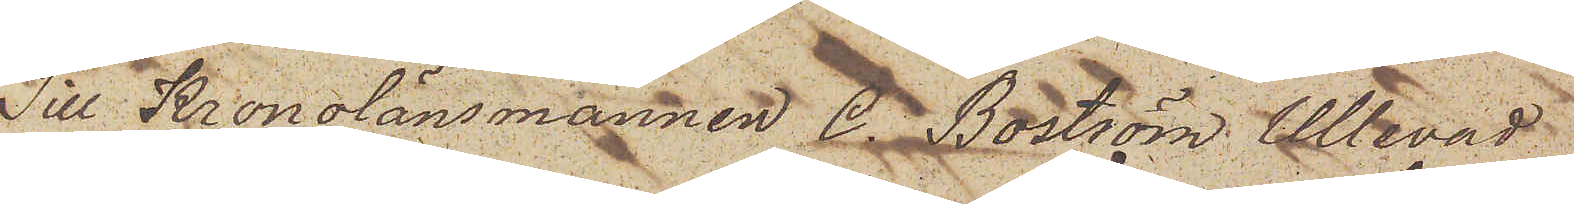Till Kronolänsmannen C. Boström Ullevad
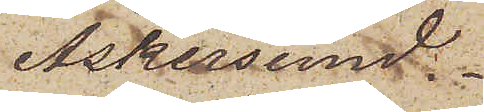Askersund.
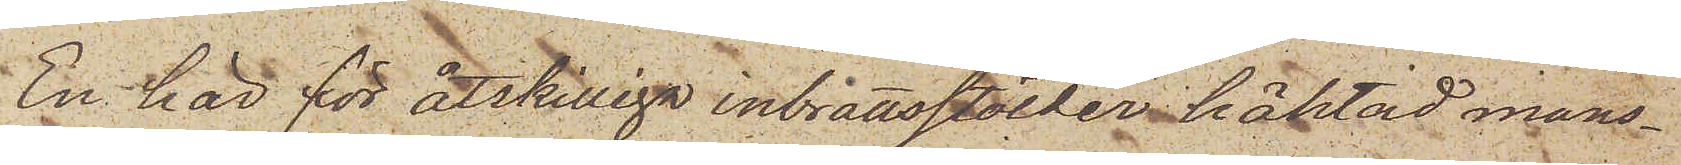En här för åtskilliga inbrottsstölder häktad mans¬
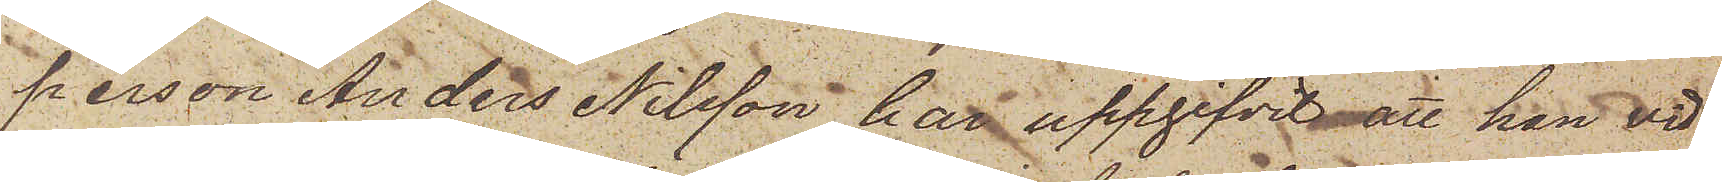person Anders Nilsson har uppgifvit att han vid
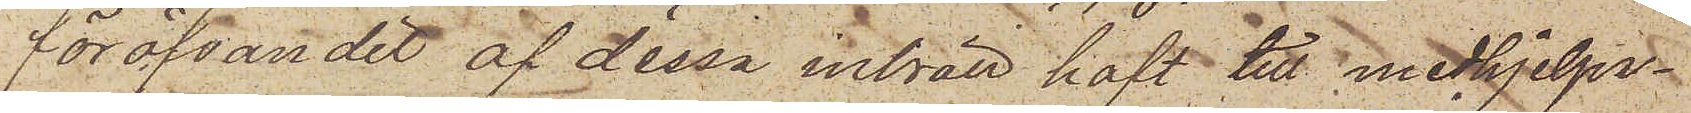föröfvandet af dessa inbrott haft till medhjelpa¬
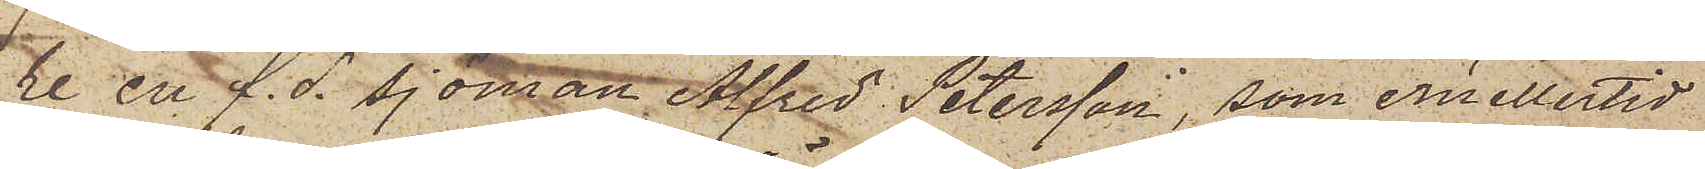re en f. d. Sjöman Alfred Petersson, som emellertid
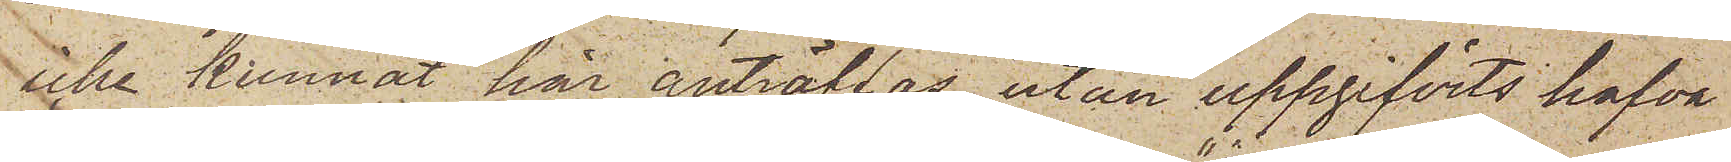icke kunnat här anträffas, utan uppgifvits hafva
